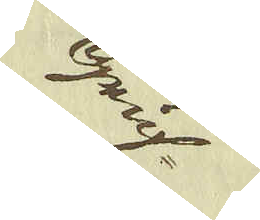Gruf-
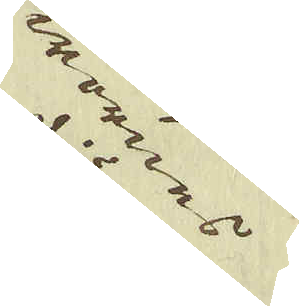wornes
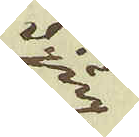djup
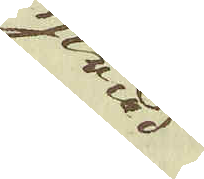hwad
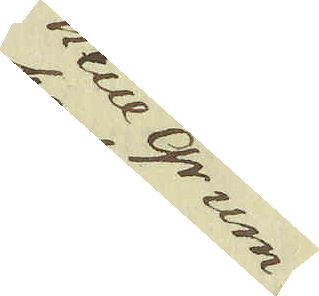neue grum
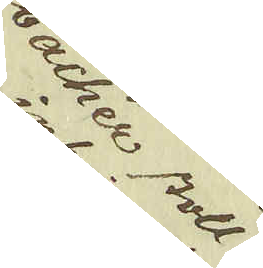bacher stoll
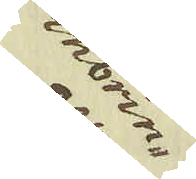inbrin-
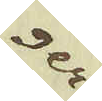ger
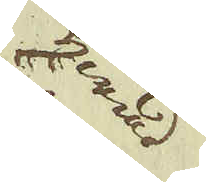hwad
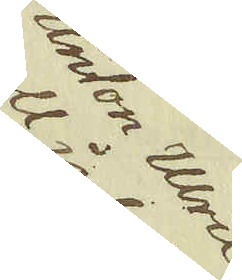Anton Ulric
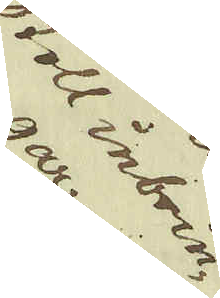stoll inbrin-
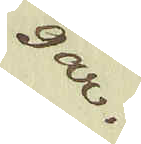gar.
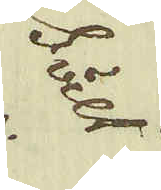Sält
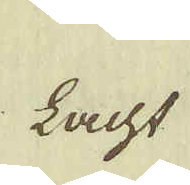Lacht
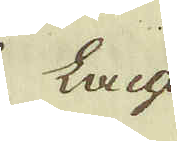Lacht
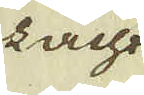lacht
